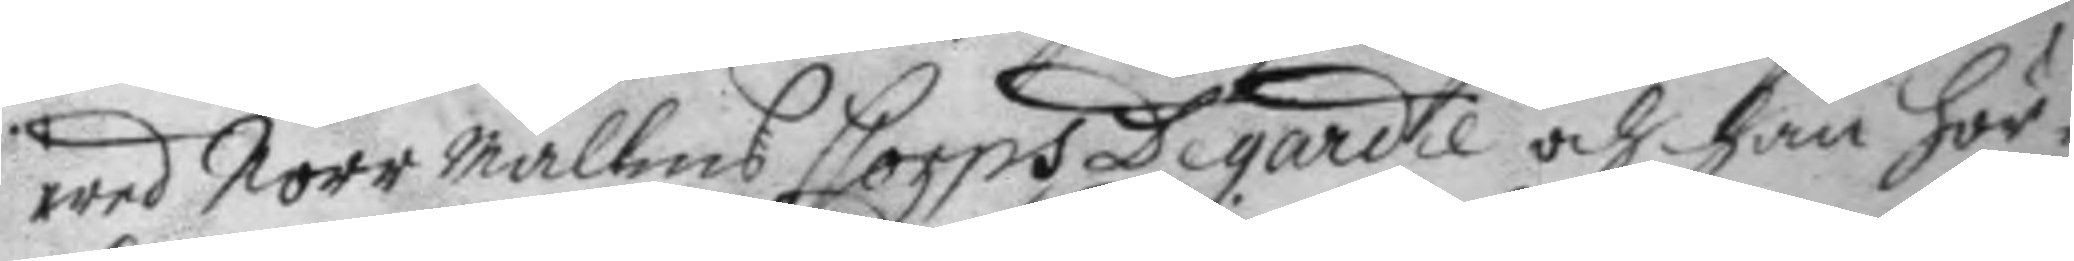wed Norr mallms Corps De gardie och han hör¬
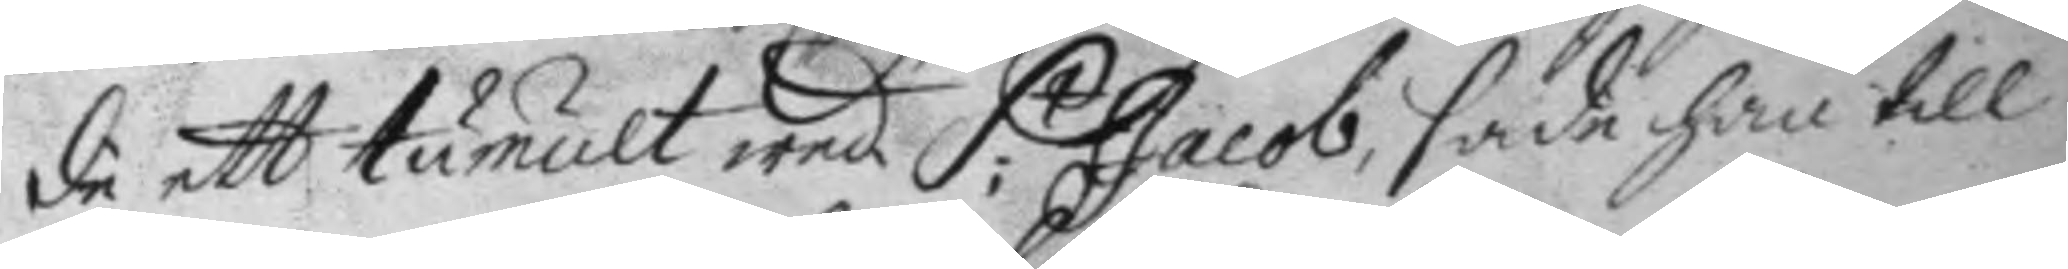de att tumult wed S.t Jacob, sade han till
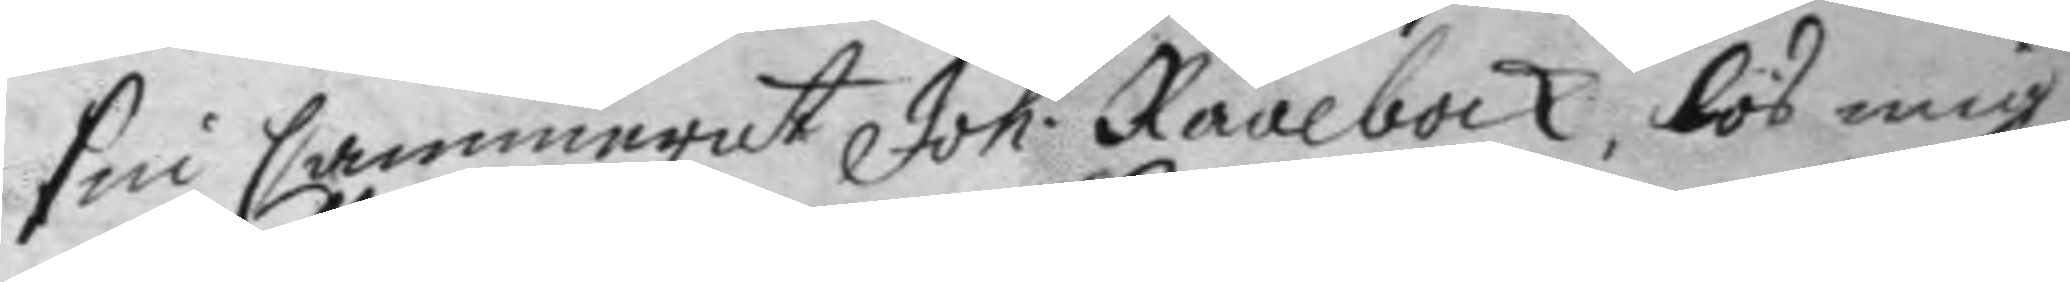sin Cammerat Joh: Råålbock, lös mig
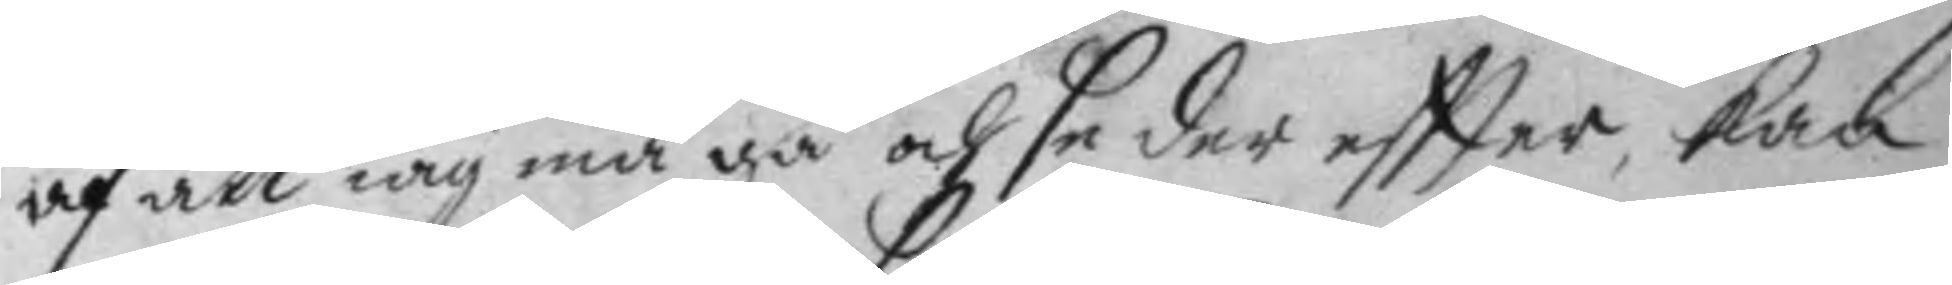af att iag må gå och se der eftter, kan
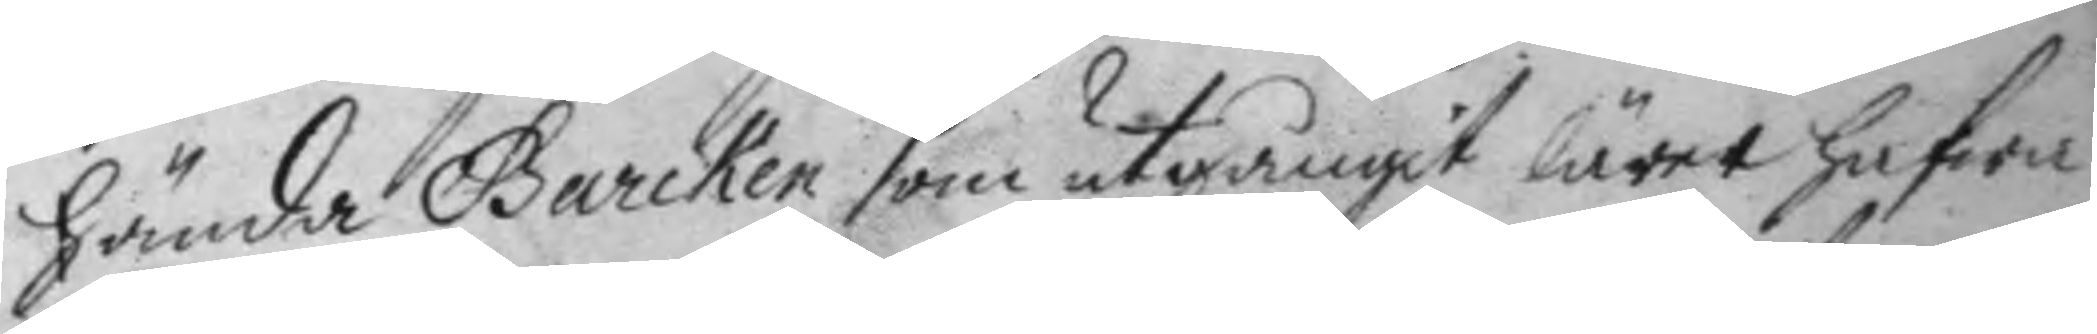hända Barcken som utgångit lärer hafwa
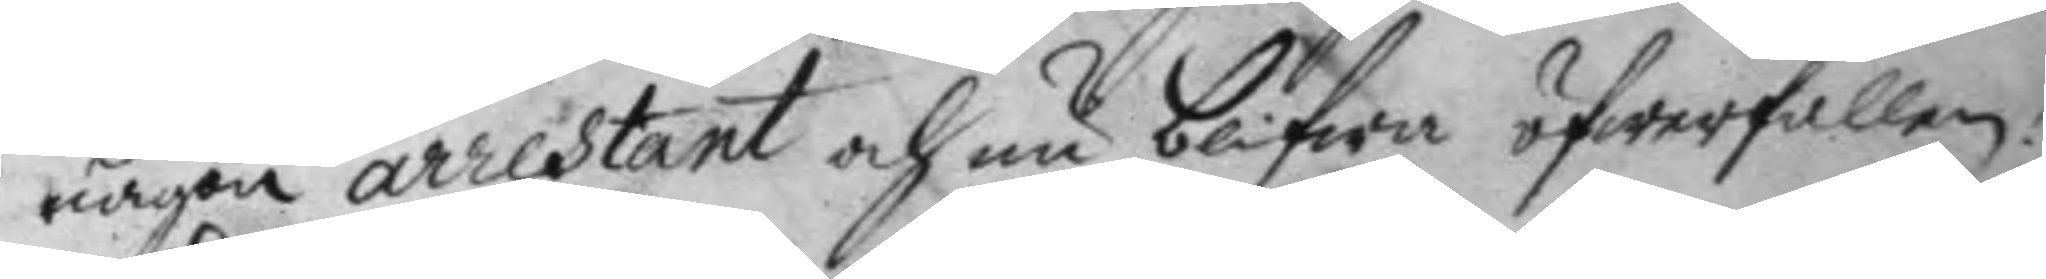någon arrestant och nu blifwa öfwerfallen;
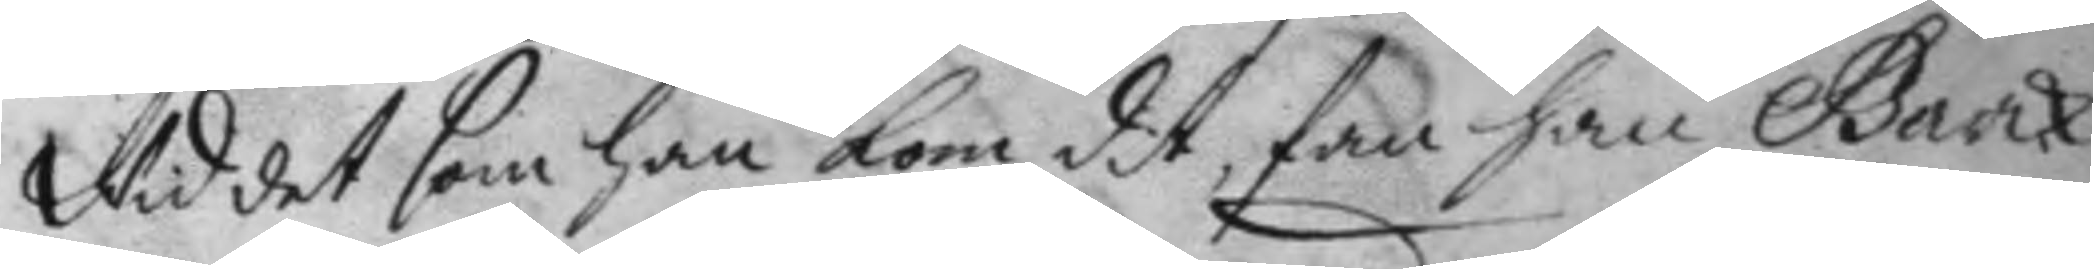Wid det som han kom dit, fan han barck
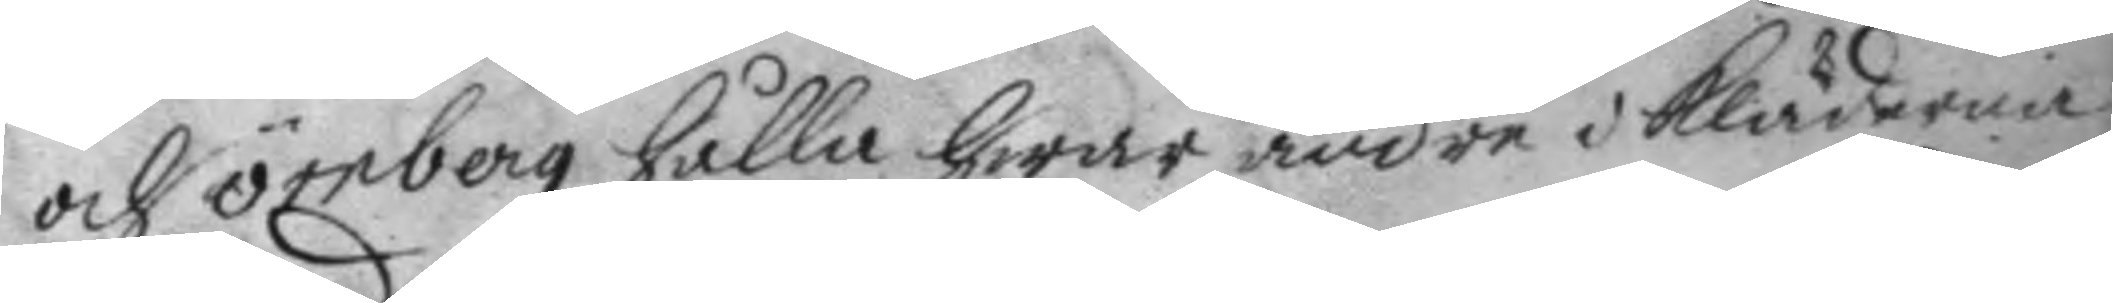och örnberg hålla hwarandra i kläderna
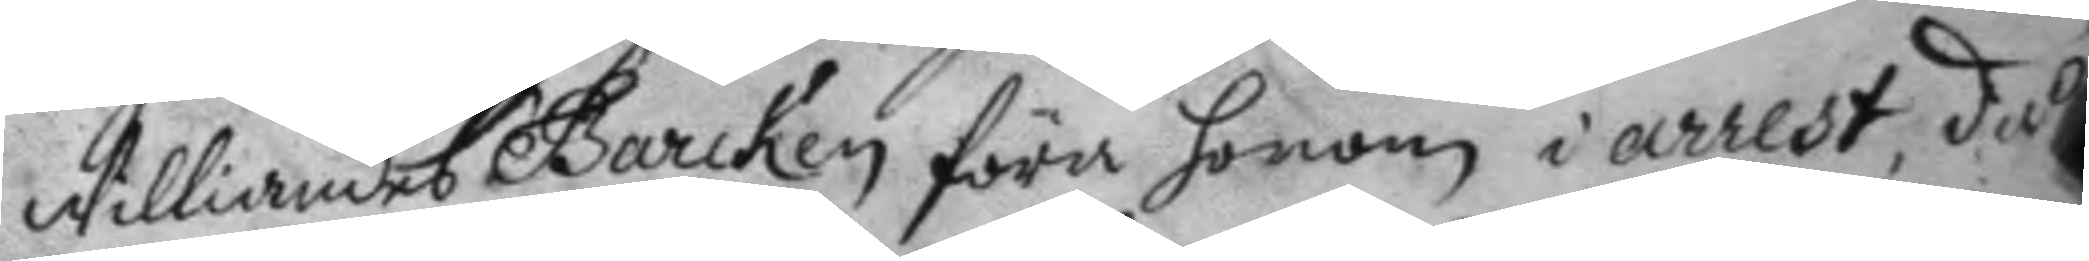Williandes Barcken föra honom i arrest, då
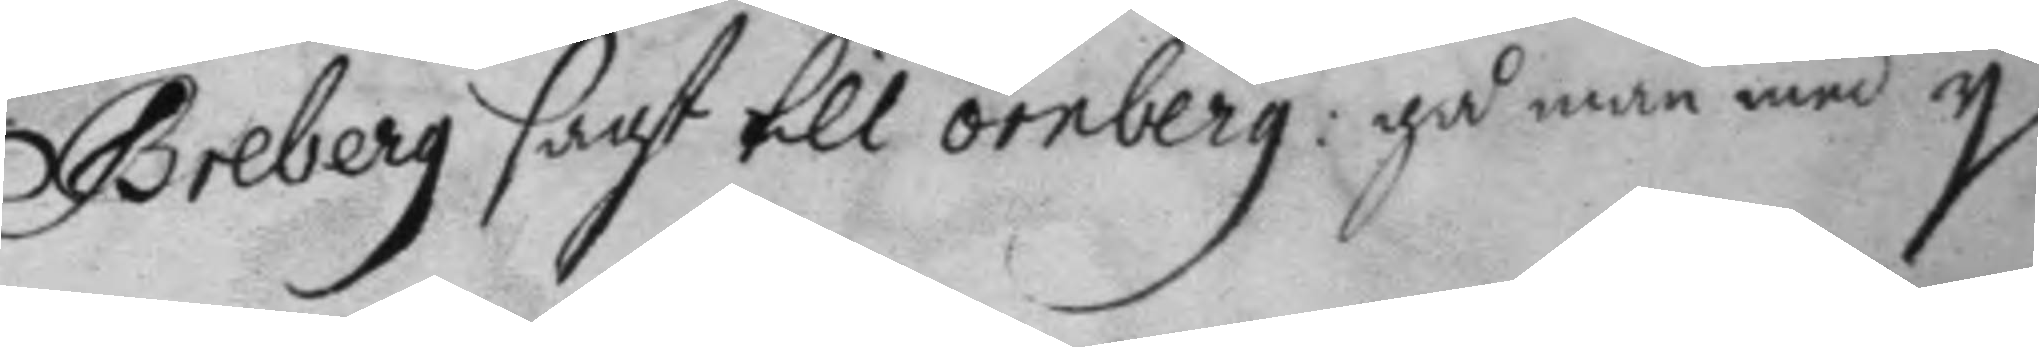Greberg sagt till örnberg: gå man med y
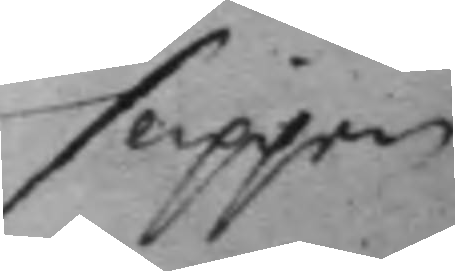slipper
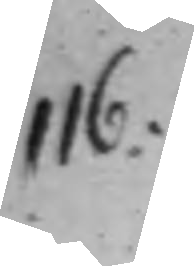116.
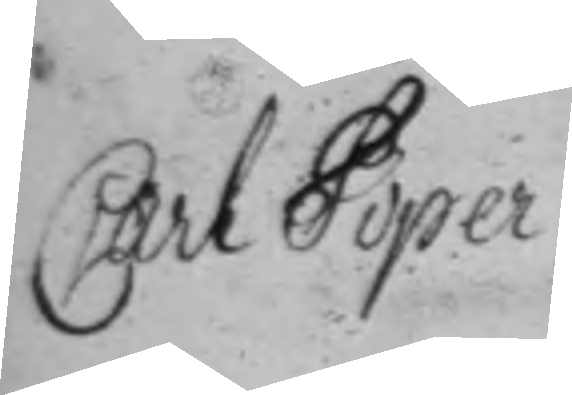Carl Piper
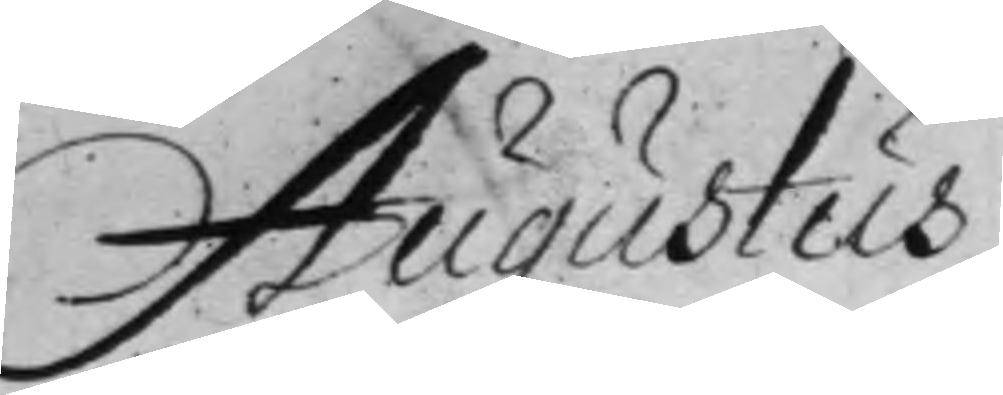Augustus
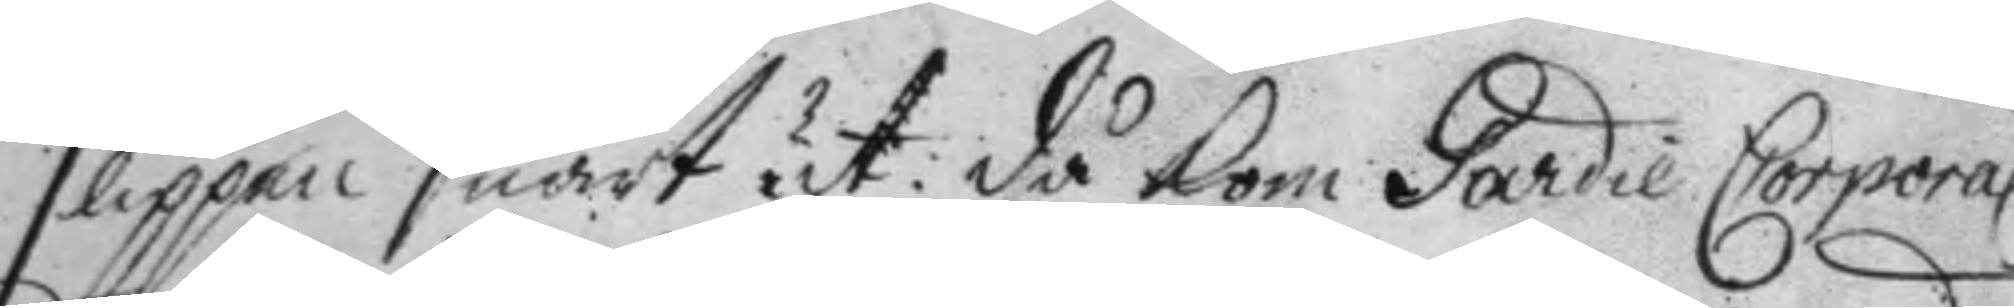slippan snart ut. då kom Gardie Corporal
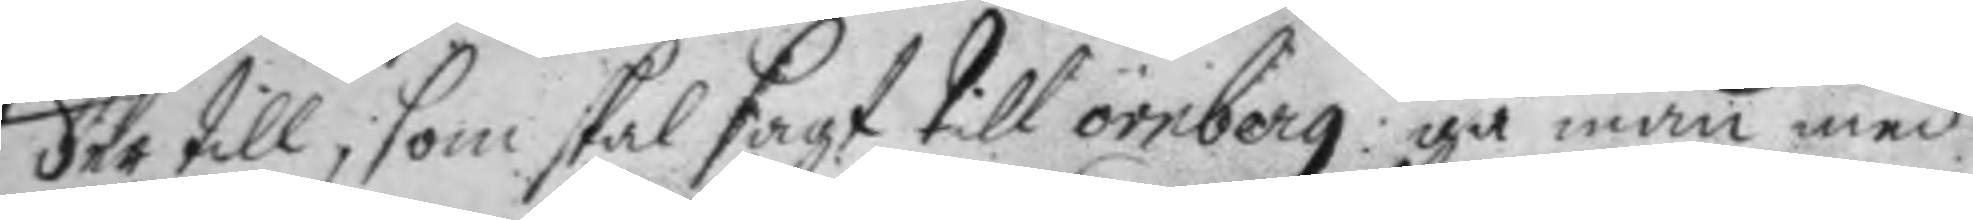der till, som skal sagt till örnberg: gåman med
